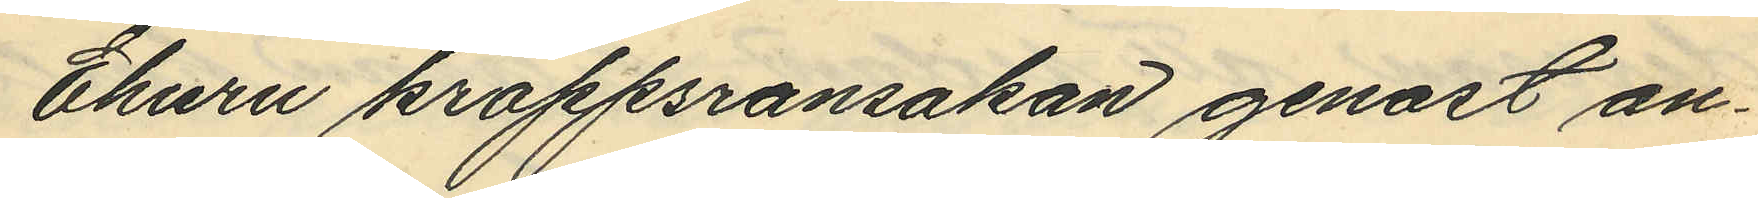Ehuru kroppsransakan genast an¬
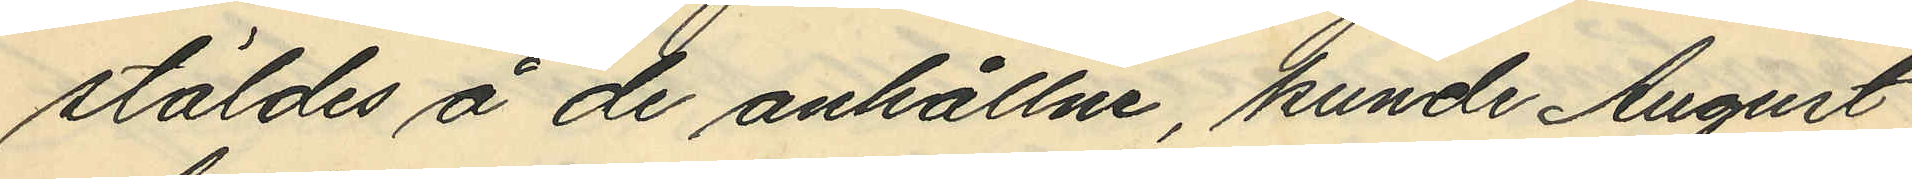stäldes å de anhållne, kunde August
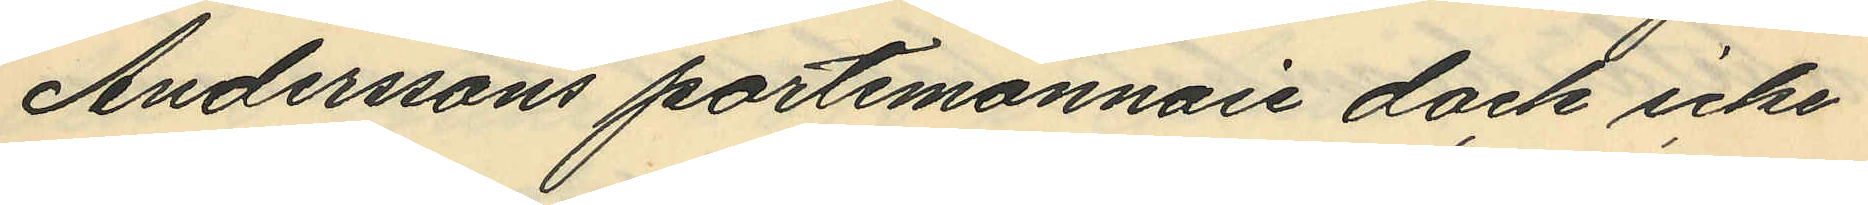Anderssons portmonnäie dock icke
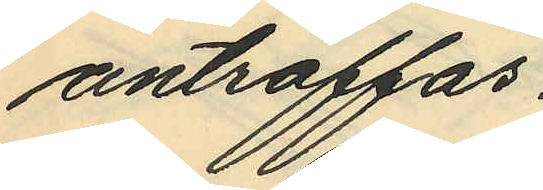anträffas.
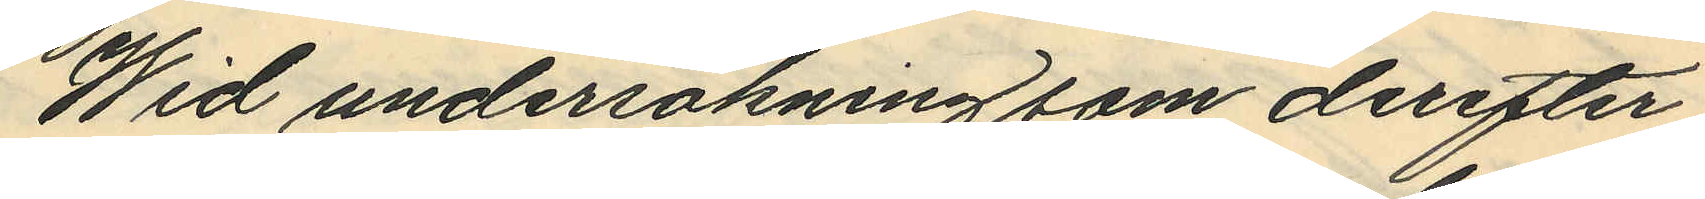Wid undersökning som derefter
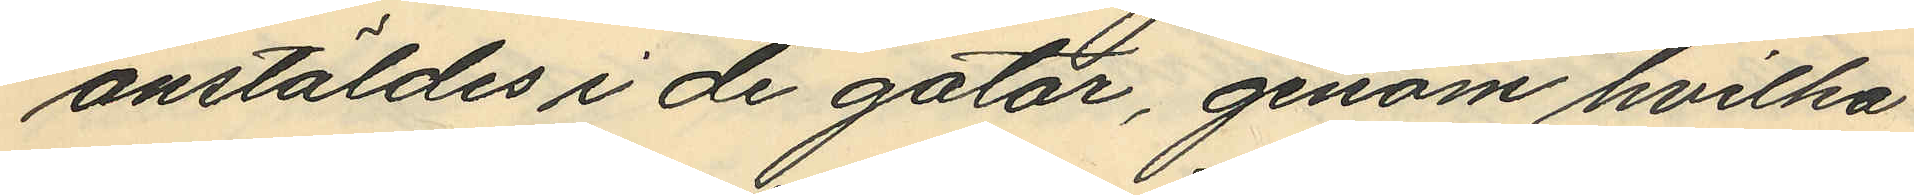anstäldes i de gator, genom hvilka
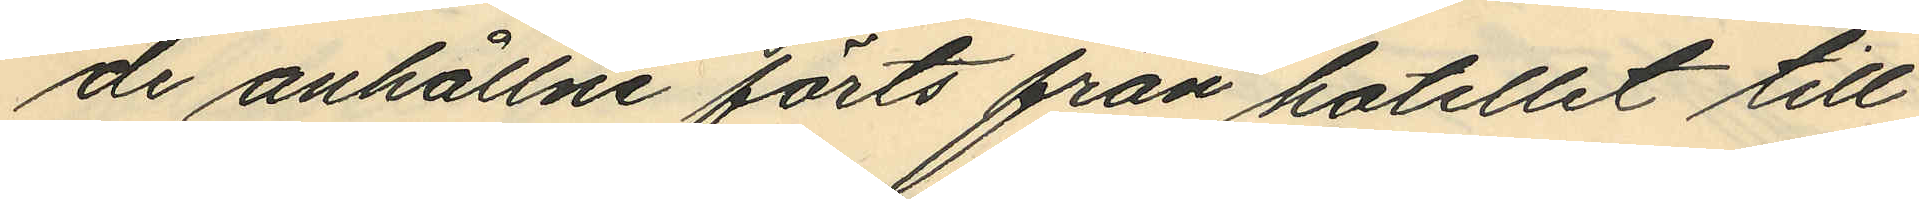de anhållne förts från hotellet till
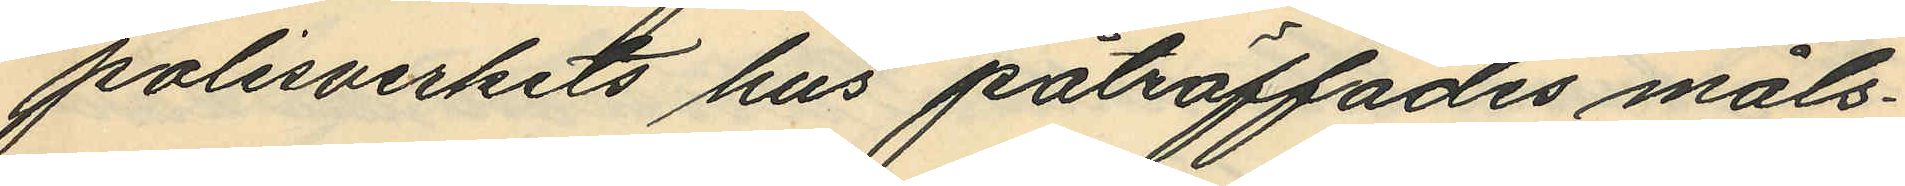polisverkets hus påträffades måls¬
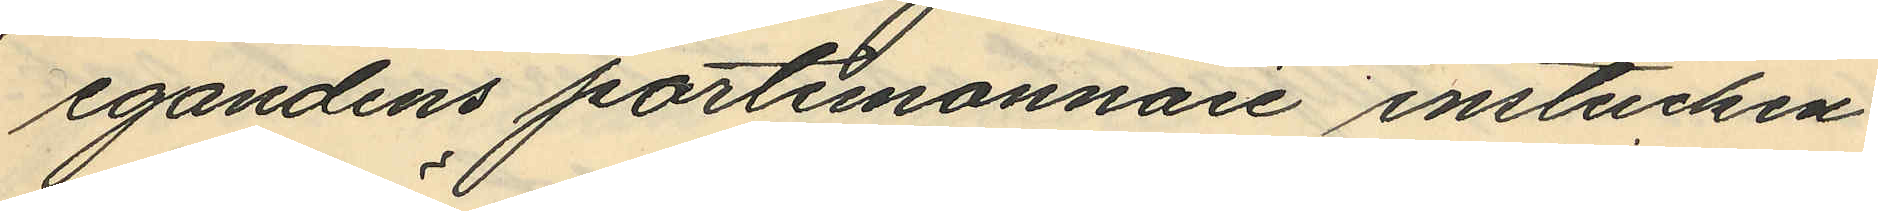egandens portmonnaie instucken
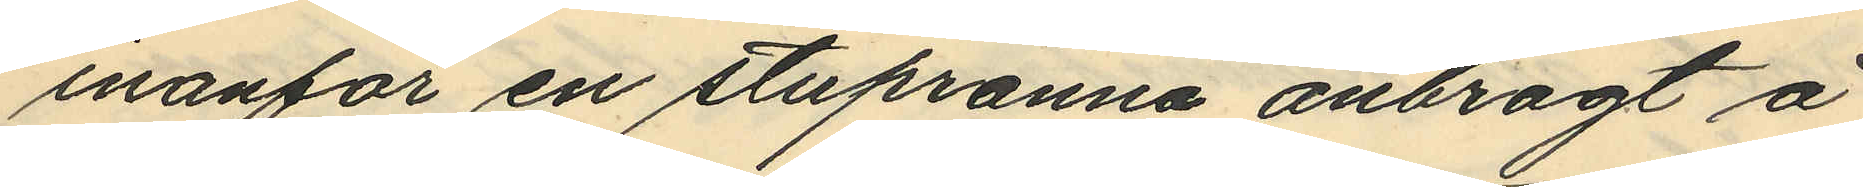innanför en stupränna anbragt å
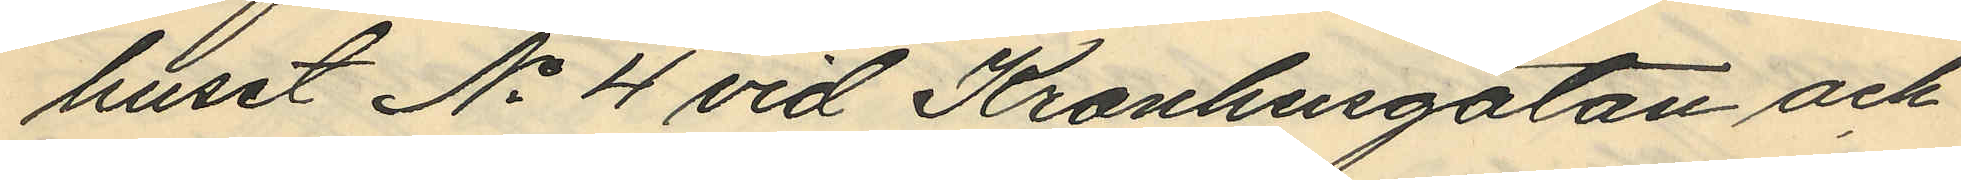huset No 4 vid Kronhusgatan och
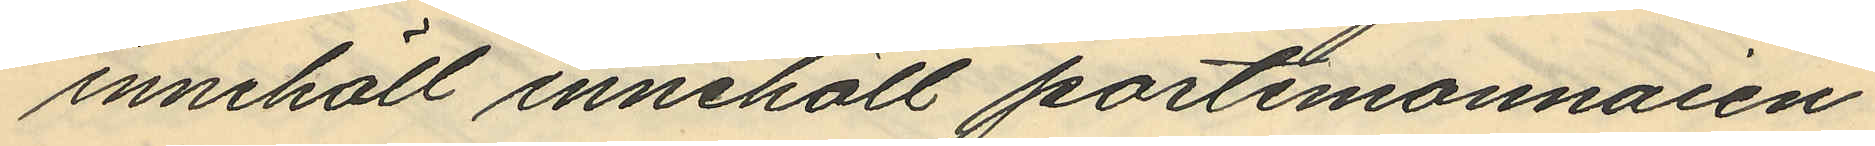innehöll innehöll portmonnaien
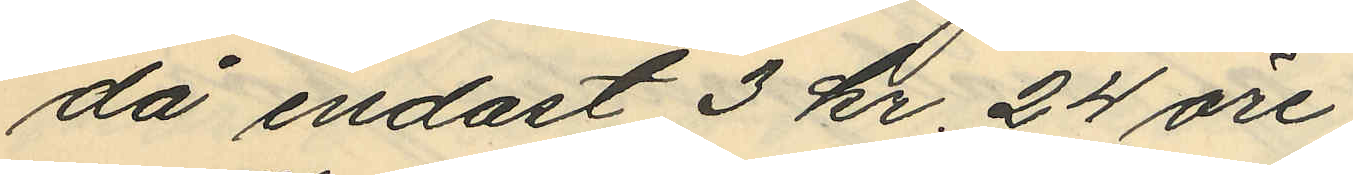då endast 3 kr. 24 öre
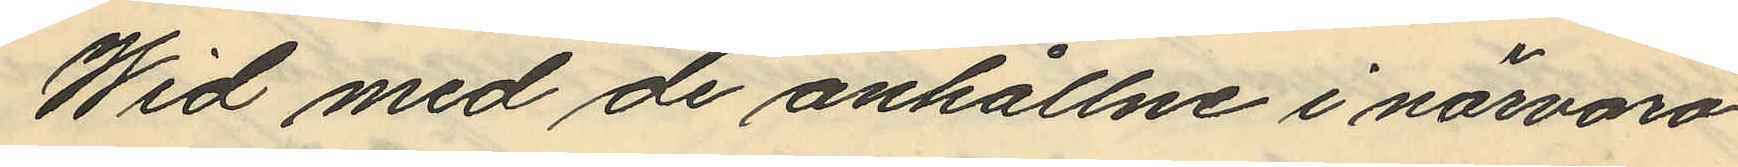Wid med de anhållne i närvaro
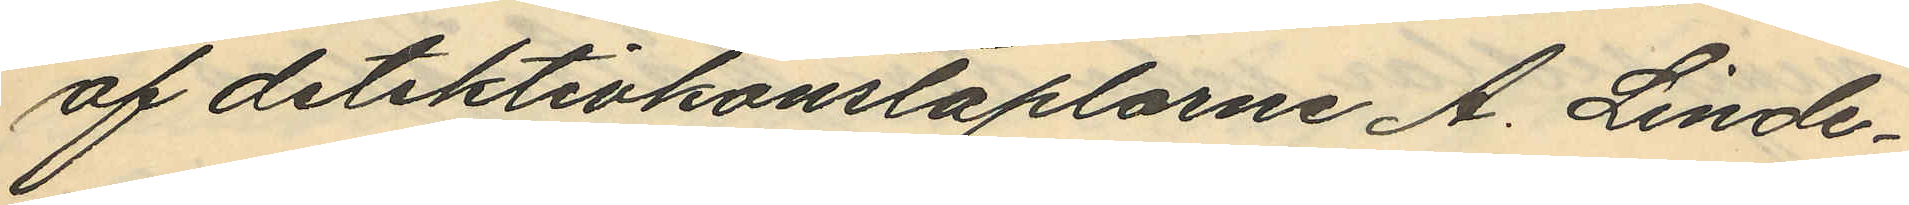af detektivkonstaplarne A. Linde¬
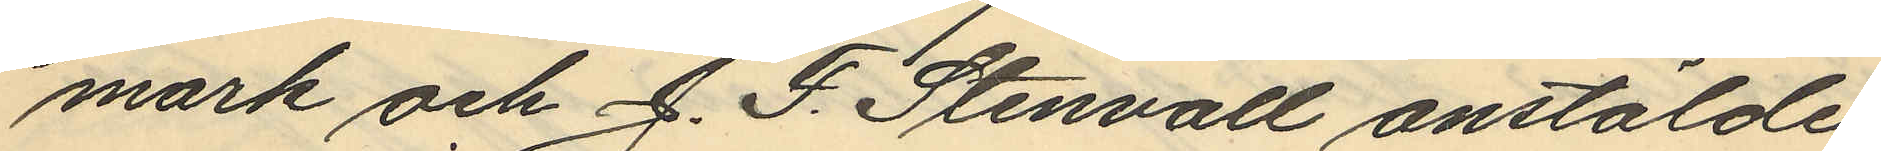mark och J. F. Stenvall anstälde
